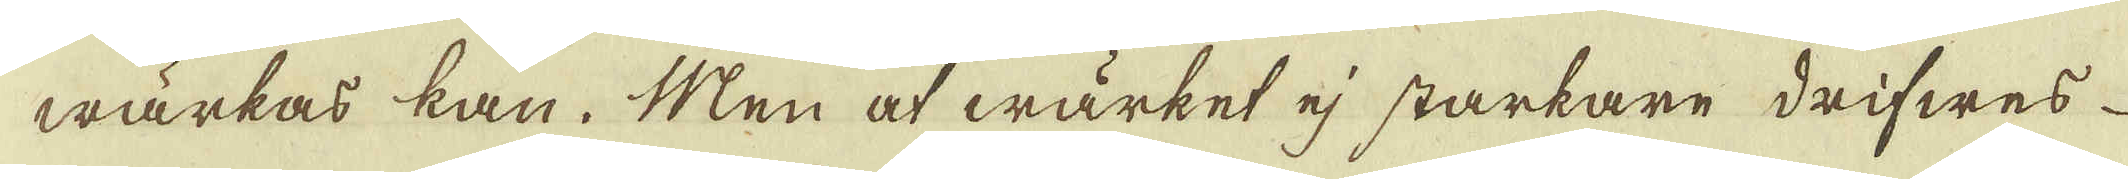wärkas kan. Men af wärket ej starkare drifwes
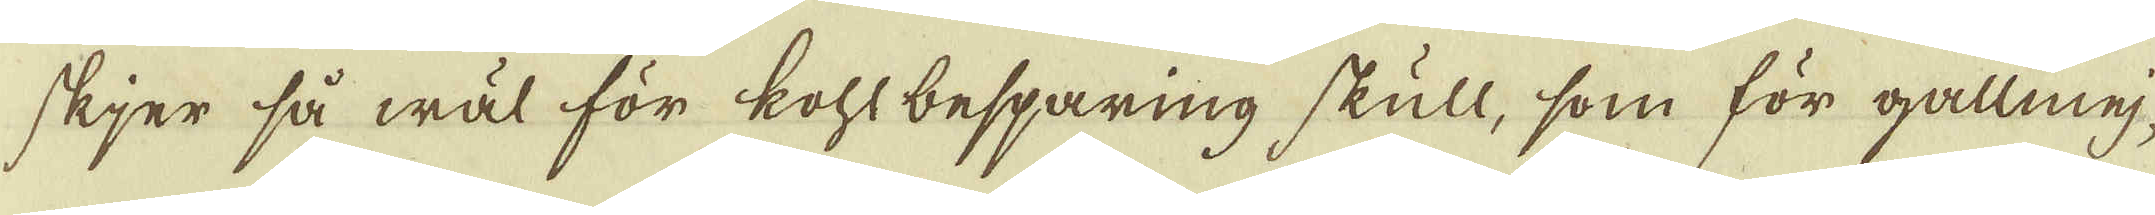skjer så wäl för Kohlbeparing skull, som för gallmej-
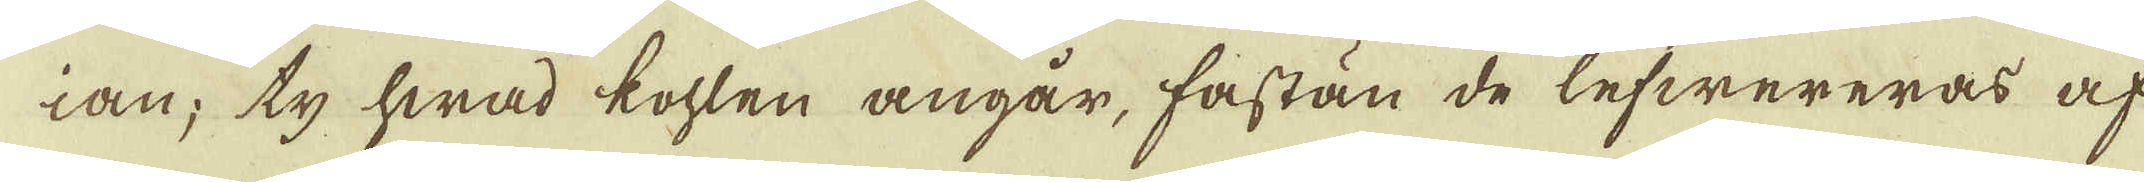ian; ty hwad kohlen angår, fastän de lefwereras af
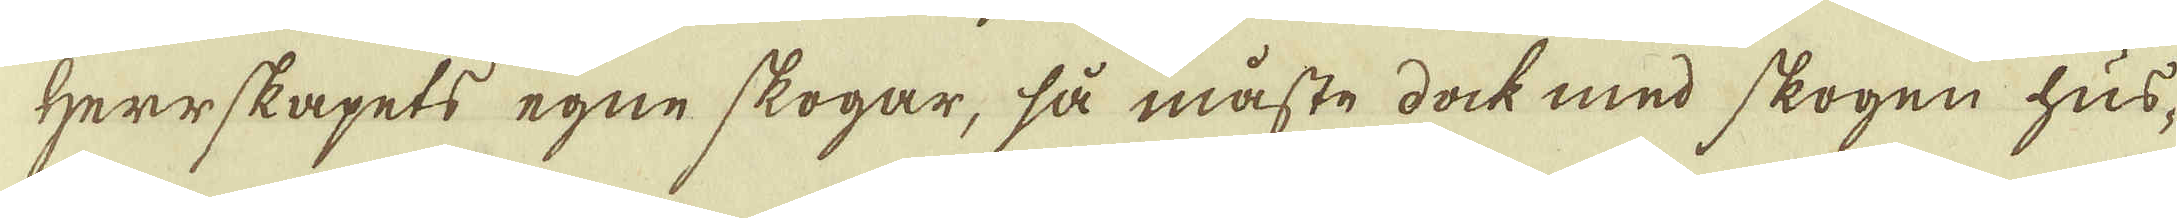Herrskapets egne skogar, så måste dock med skogen hus-
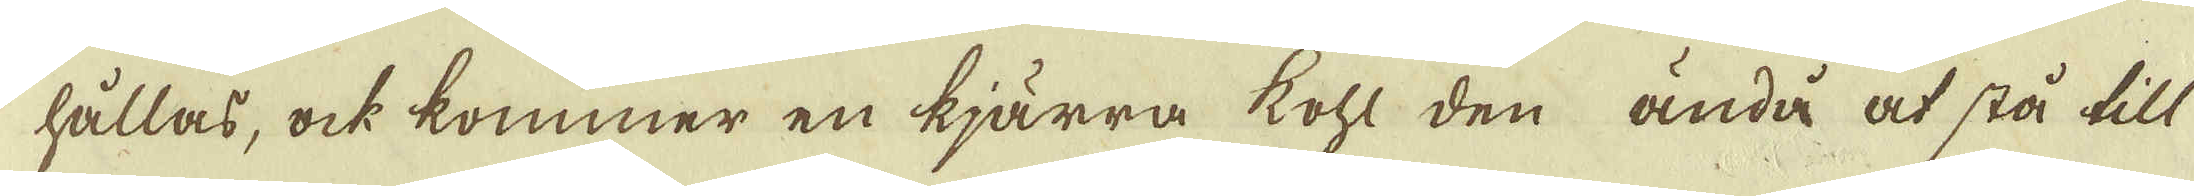hållas, ock kommer en kiärra kohl den ändå at stå till
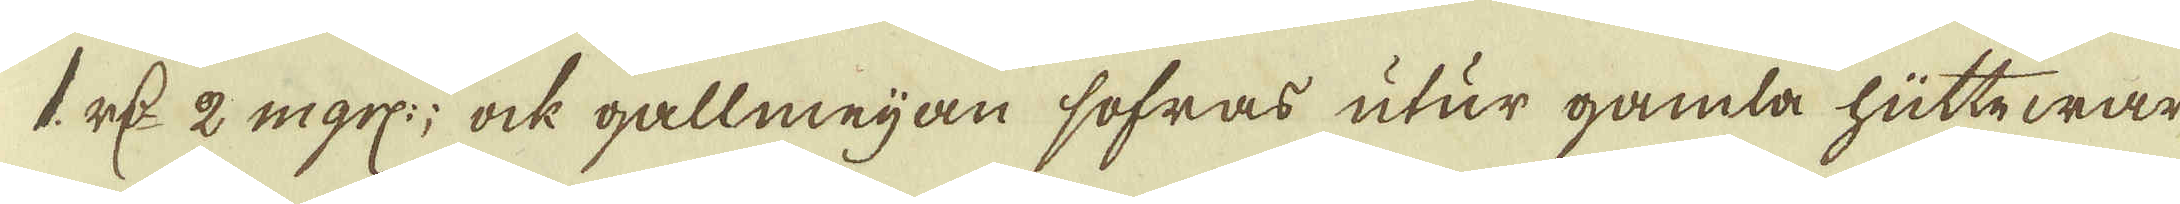1. r:dr 2 mgrs:; ock gallmeijan sofras utur gamla hütte war-
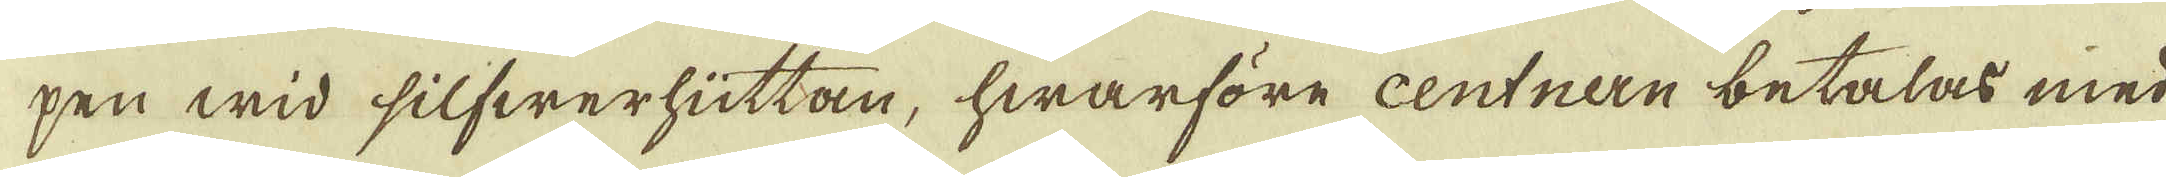pen wid silfwerhüttan, hwarföre centnan betalas med
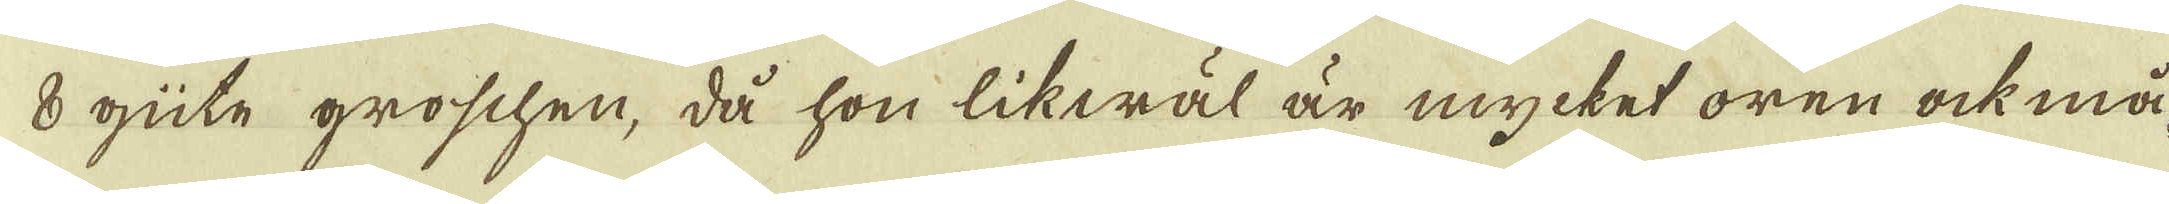8 güte groschen, då hon likwäl är mycket oren ock må-
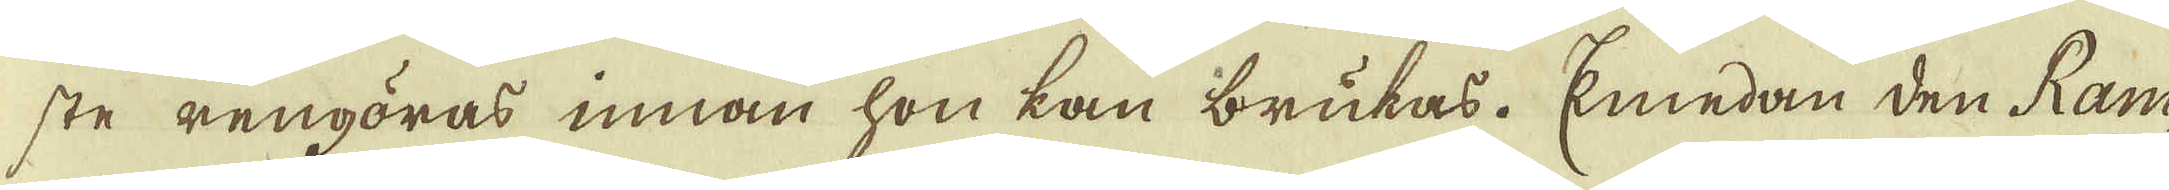ste rengöras innan hon kan brukas. Emedan den Ram-
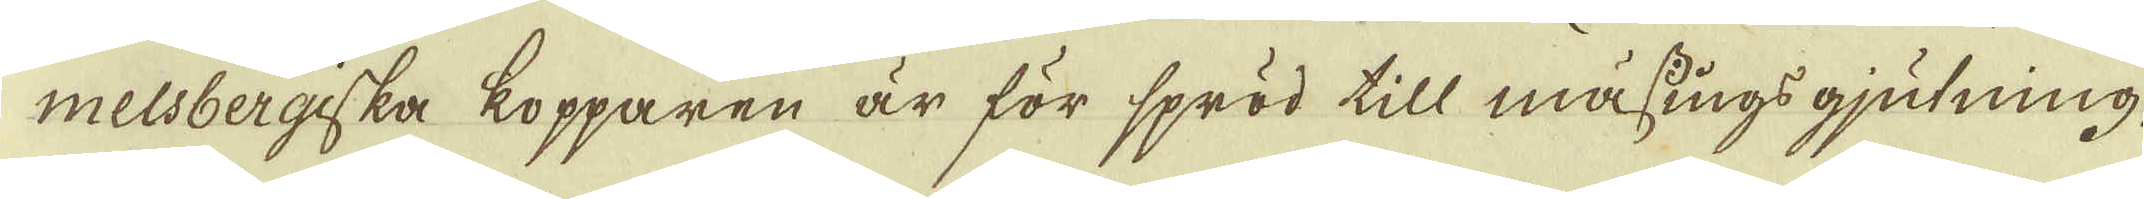melsbergiska kopparen är för spröd till mässings gjutning,
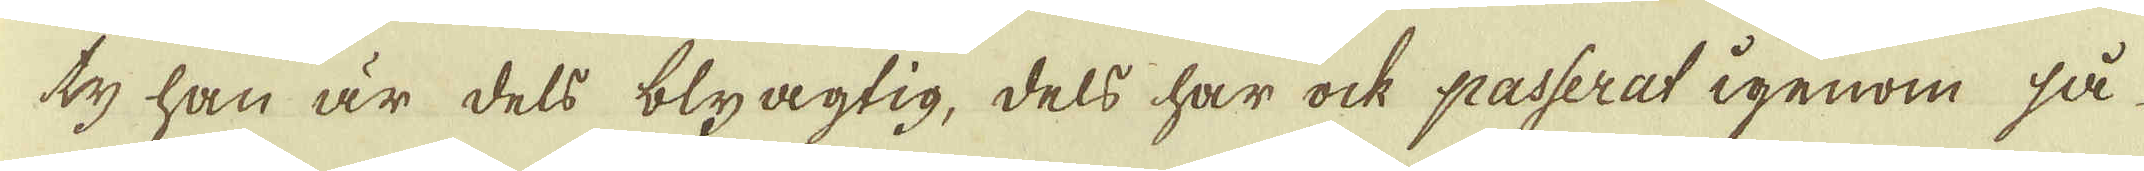ty han är dels blyagtig, dels har ock passerat igenom så
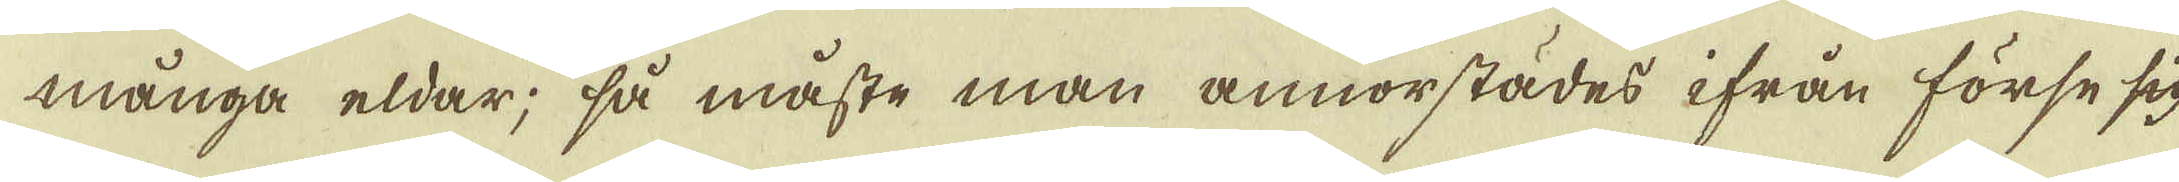många eldar; så måste man annorstädes ifrån förse sig
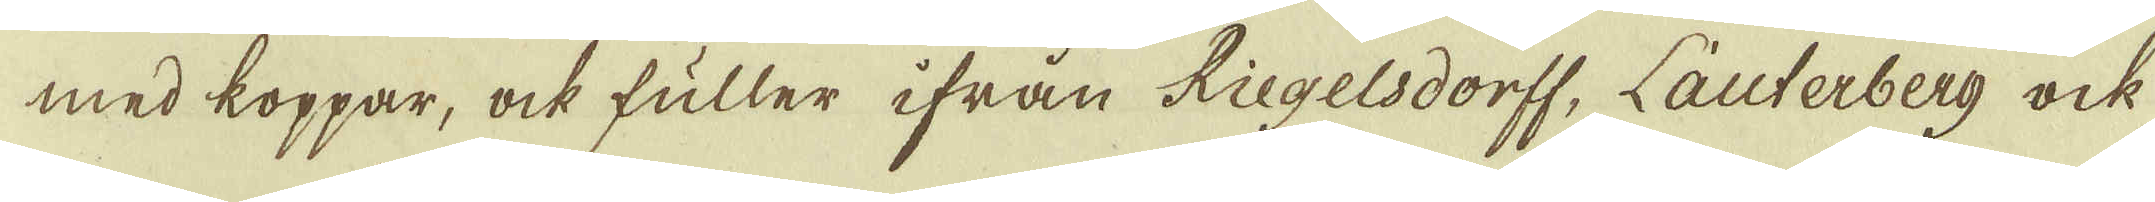med koppar, ock fuller ifrån Riegelsdorff, Lauterberg ock
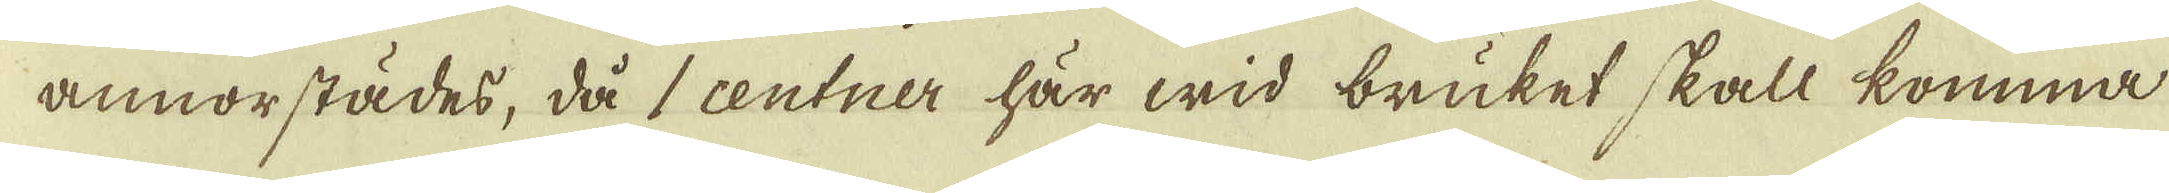annorstädes, då centner här wid bruket skall komma
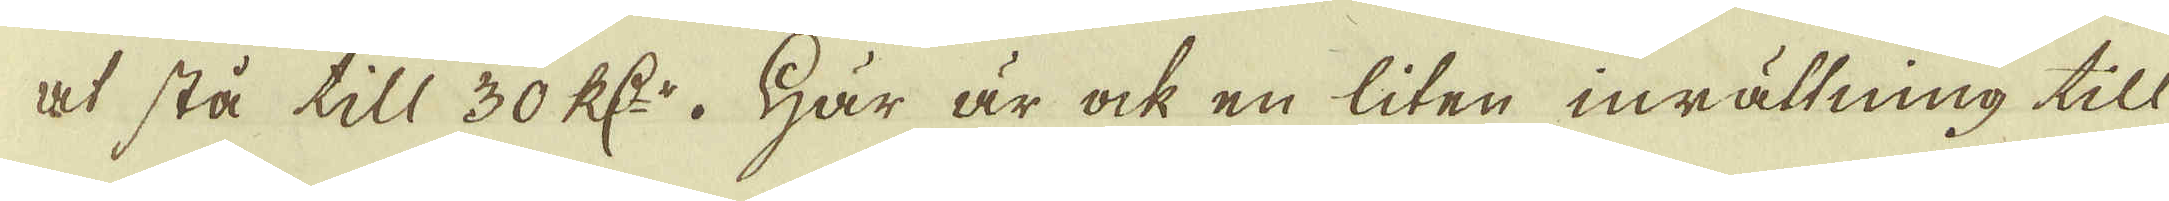at stå till 30 R:dr. Här är ock en liten inrättning till
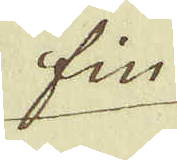fin
